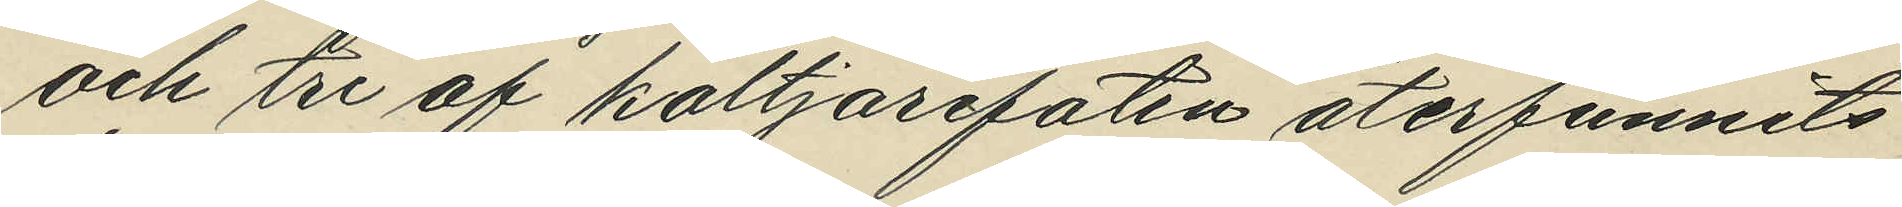och tre af koltjarefaten återfunnits
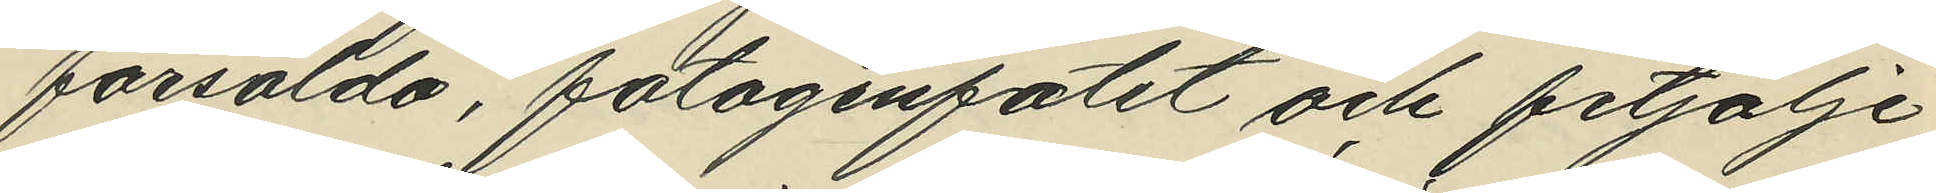försålda, fotogenfatet och fetjolje¬
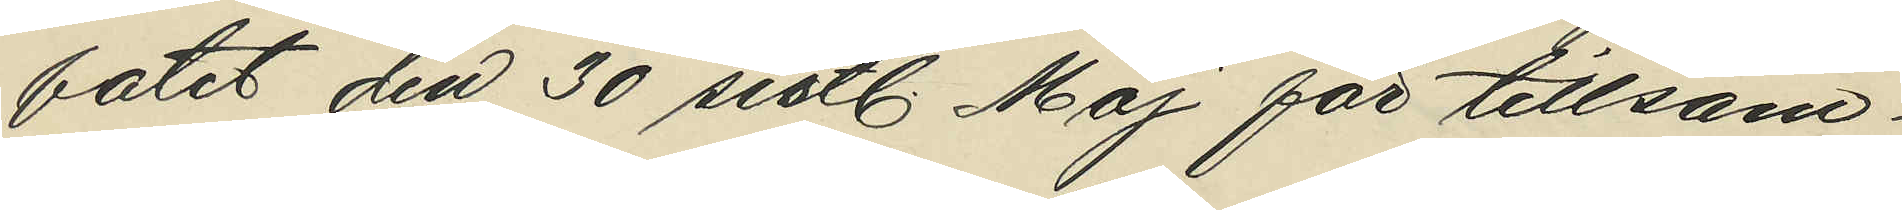fatet den 30 sistl. Maj för tillsam¬
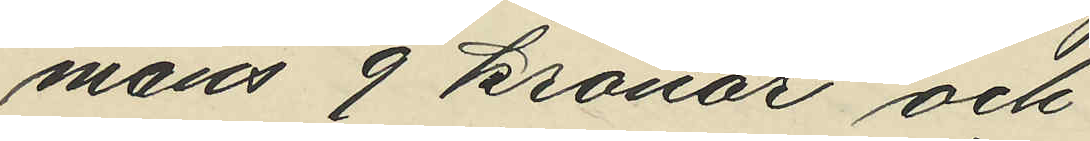mans 9 kronor och
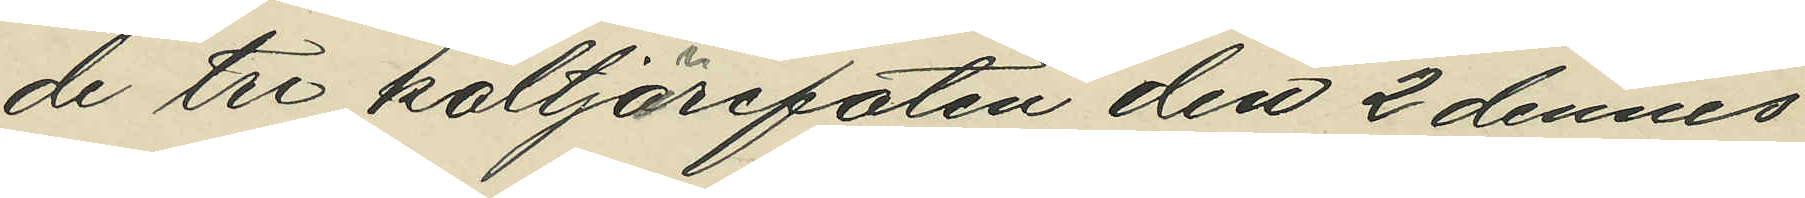de tre koltjärefaten den 2 dennes
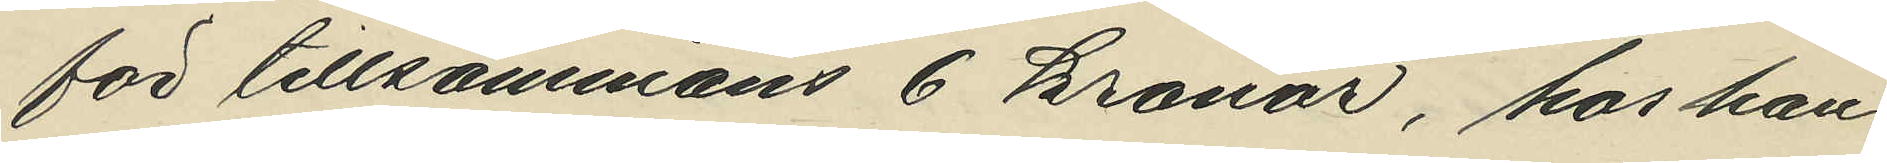för tillsammans 6 kronor, hos han¬
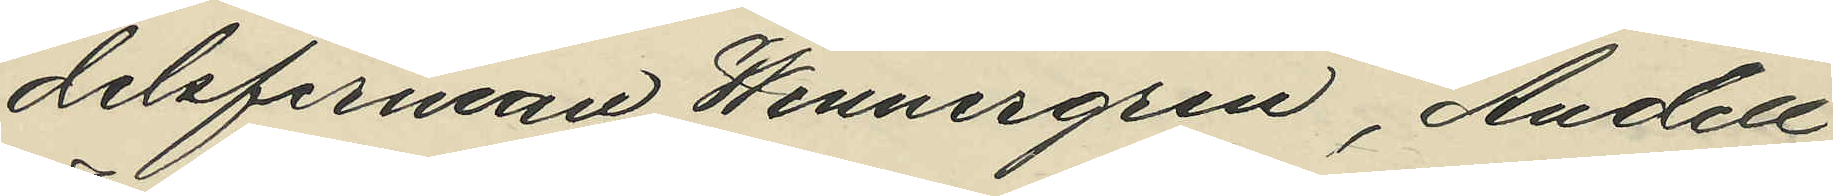delsfirman Wennergren, Andell
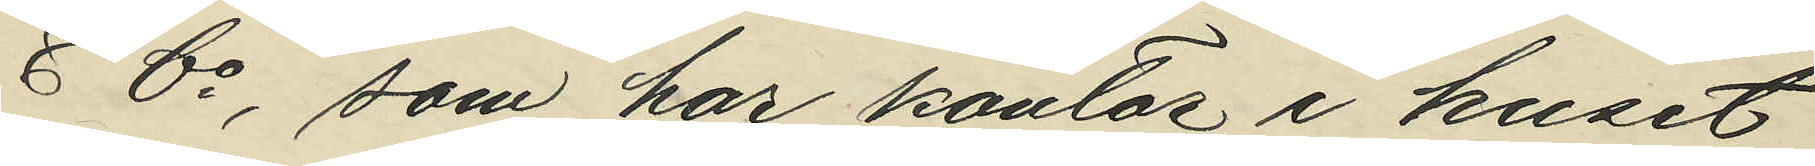& Co, som har kontor i huset
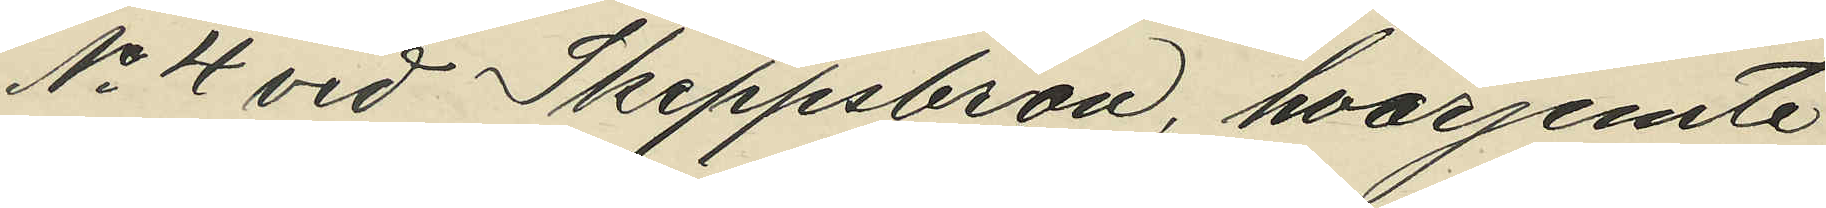No 4 vid Skeppsbron, hvarjemte
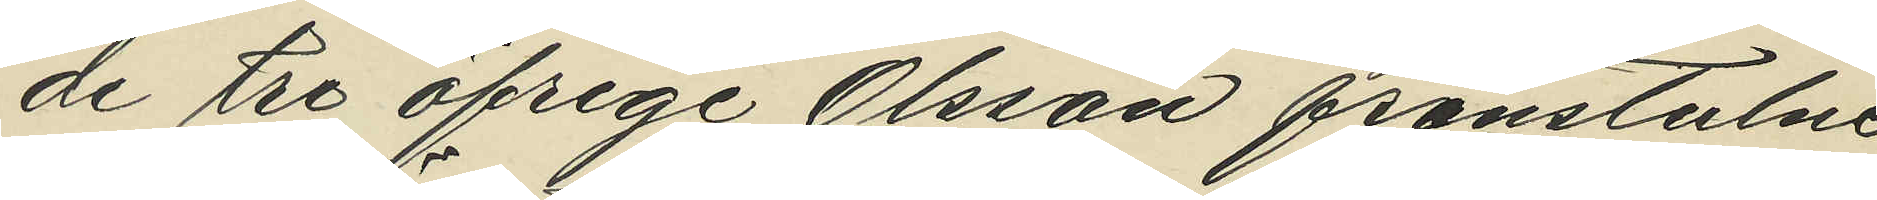de tre öfrige Olsson frånstulne
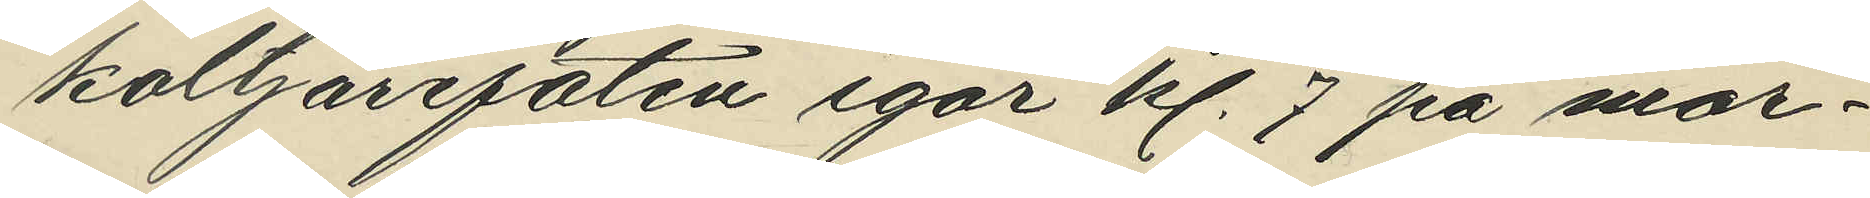koltjärefaten igår kl. 7 på mor¬
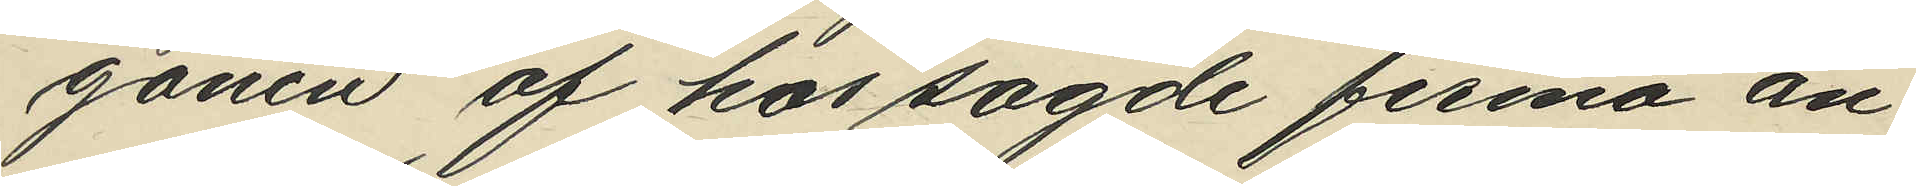gonen af hos sagde firma an¬
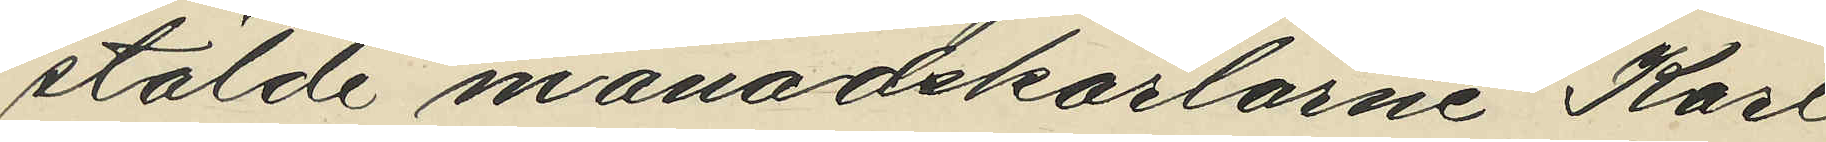stälde månadskarlarne Karl
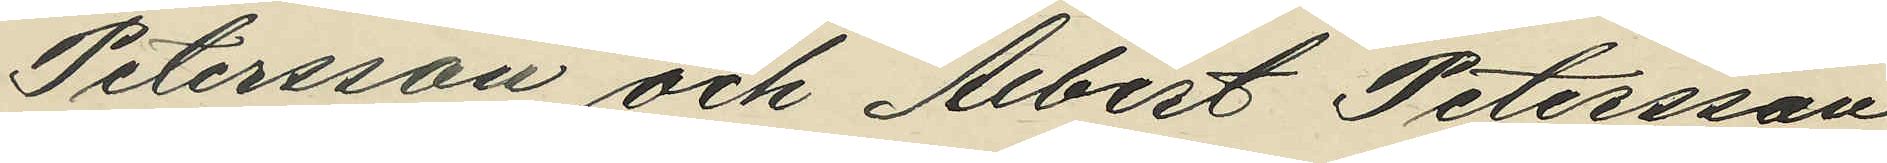Petersson och Albert Petersson
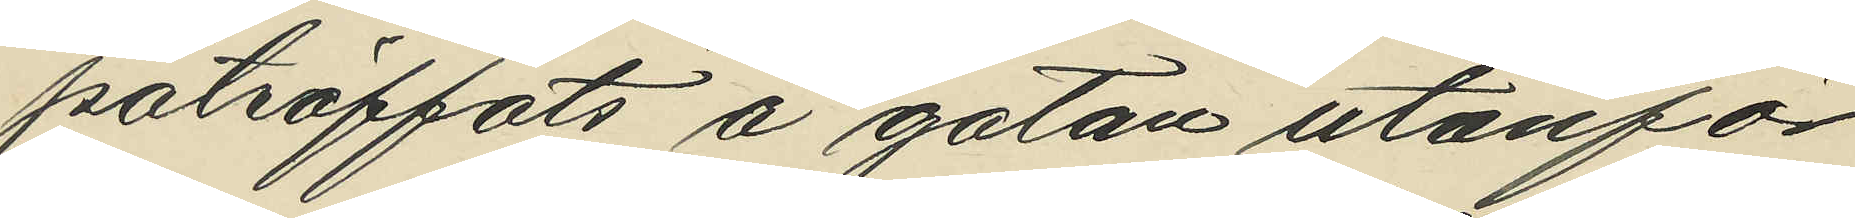påträffats å gatan utanför
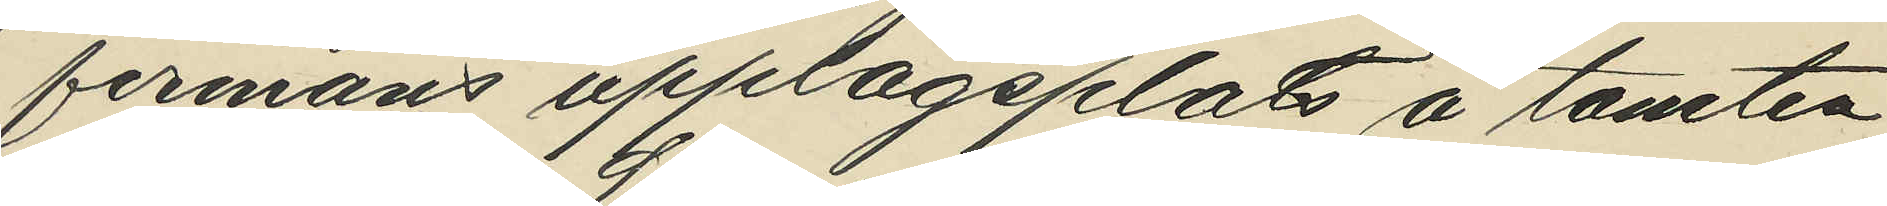firmans upplagsplats å tomten
